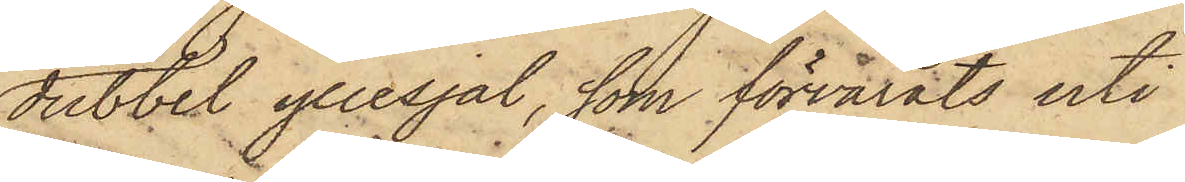dubbel yllesjal, som förvarats uti
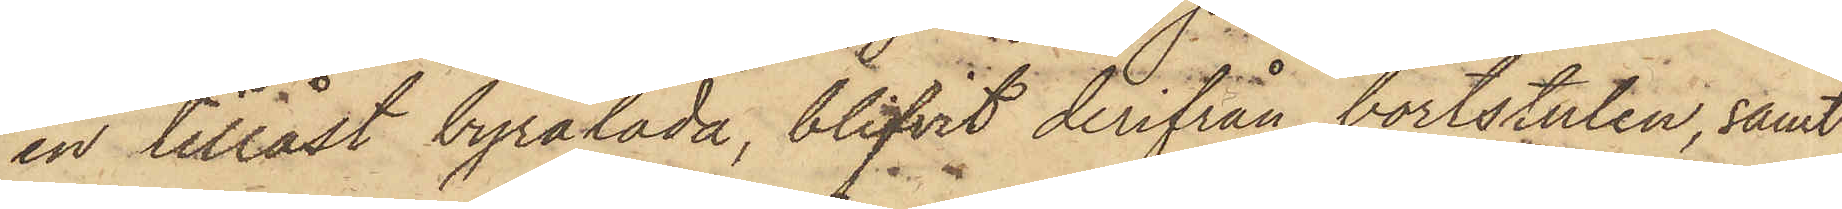en tillåst byrålåda, blifvit derifrån bortstulen, samt
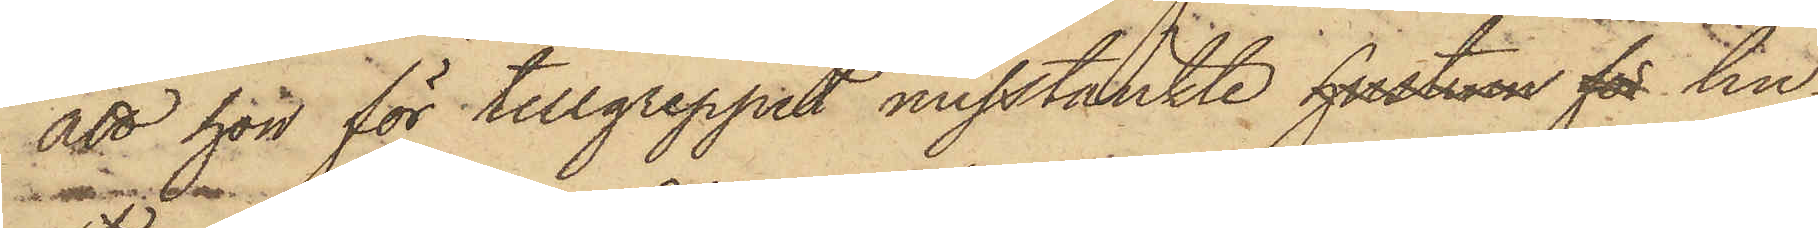att hon för tillgreppet misstänkte hustrun för hu¬
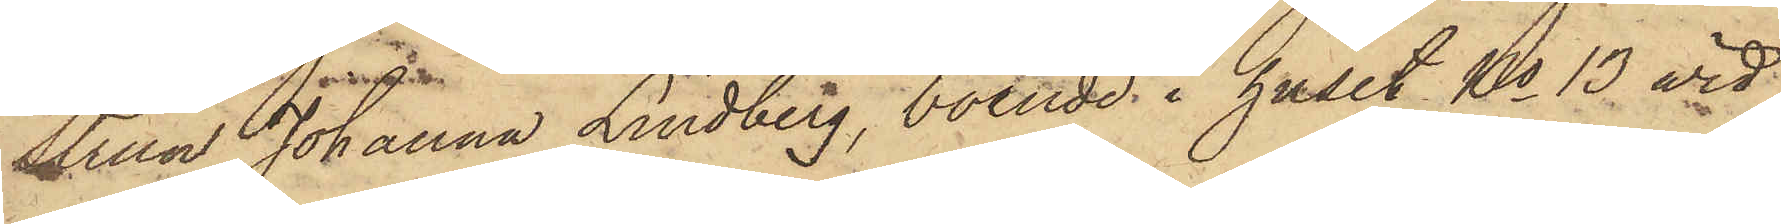strun Johanna Lindberg, boende i huset No 13 vid
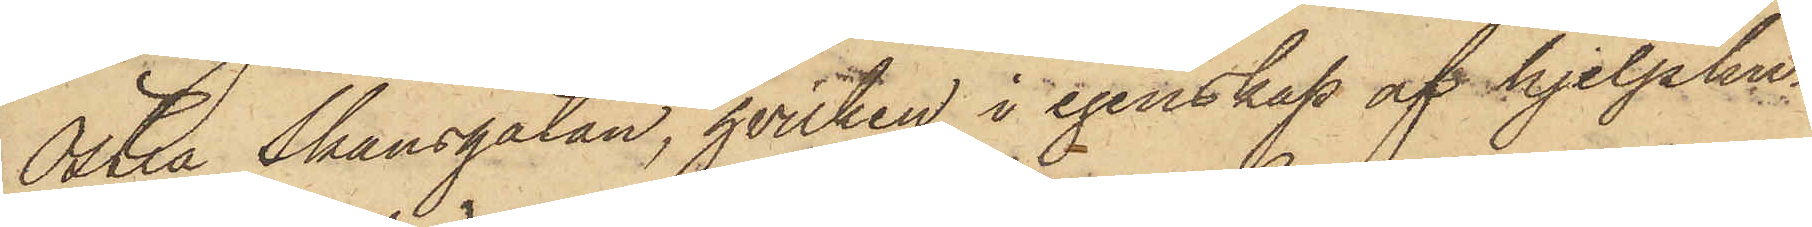Östra Skansgatan, hvilken i egenskap af hjelphu¬
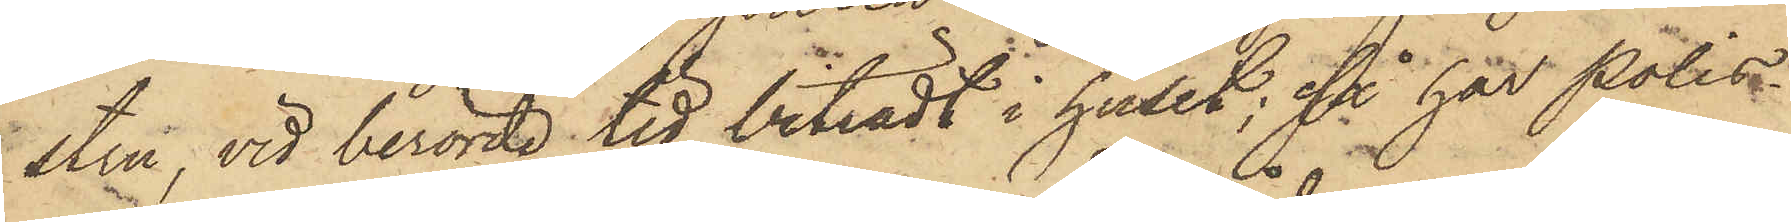stru, vid berörde tid biträdt i huset; så har Polis¬
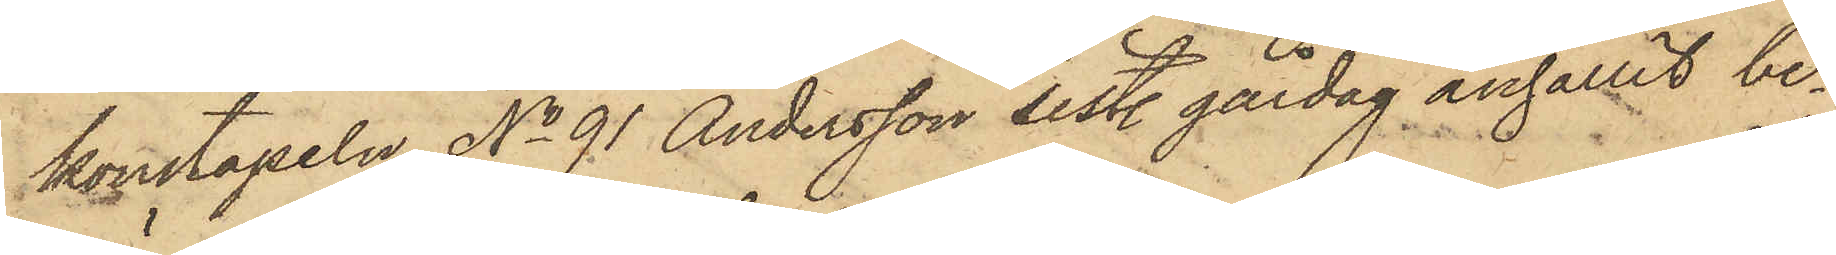konstapeln No 91 Andersson sistl. gårdag anhållit be¬
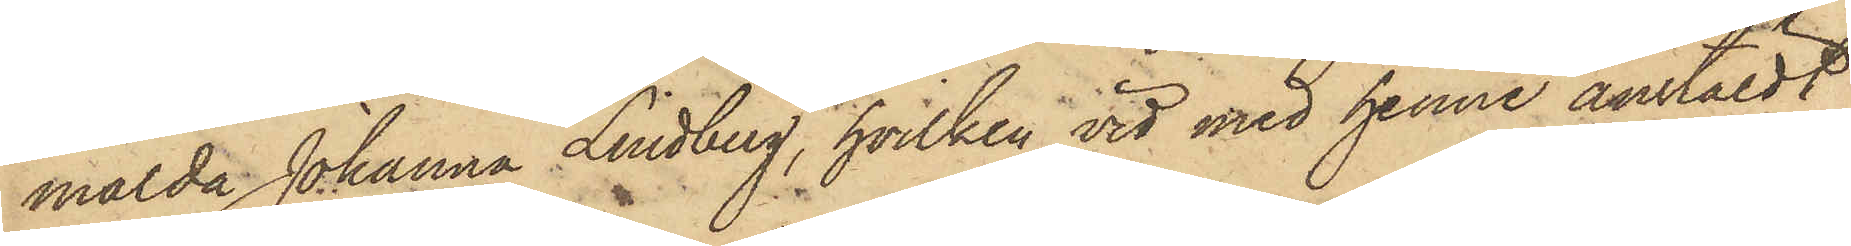mälda Johanna Lindberg, hvilken vid med henne anstäldt
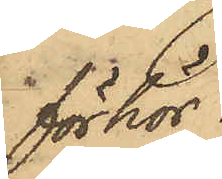förhör
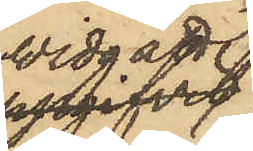vidgått;
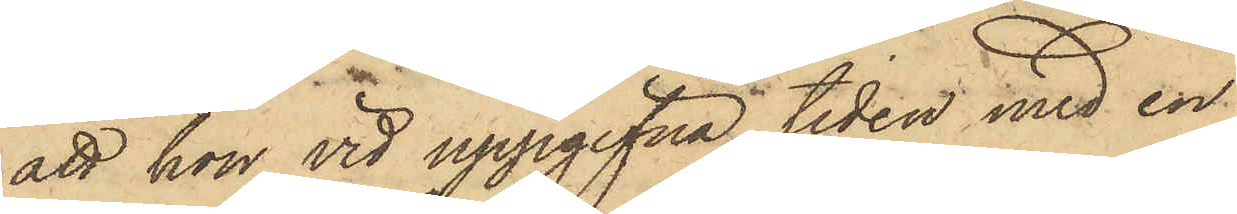att hon vid uppgifna tiden med en
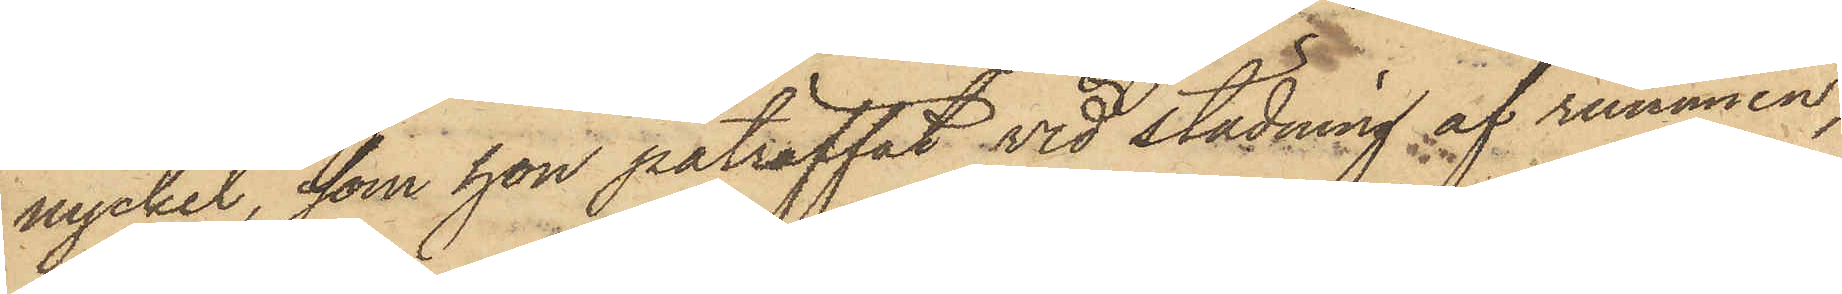nyckel, som hon påträffat vid städning af rummen,
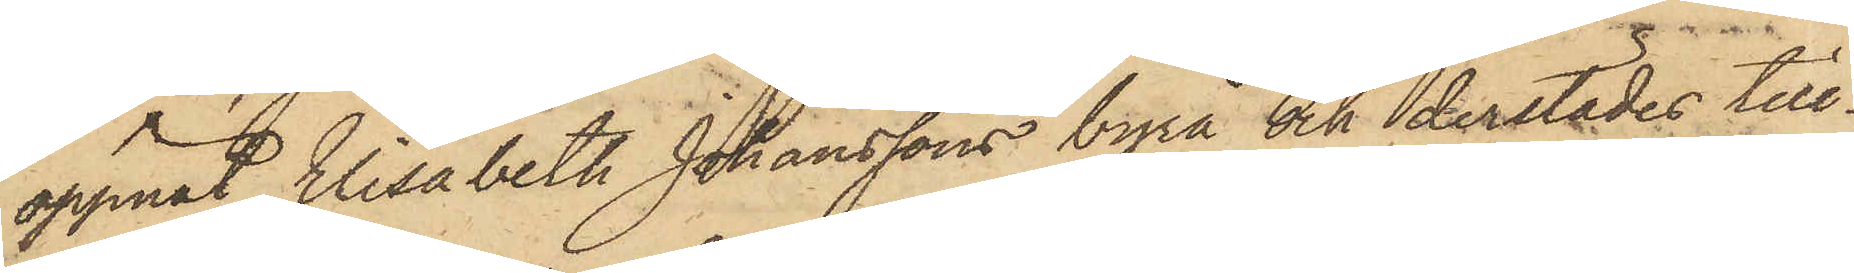öppnat Elisabeth Johanssons byrå och derstädes till¬
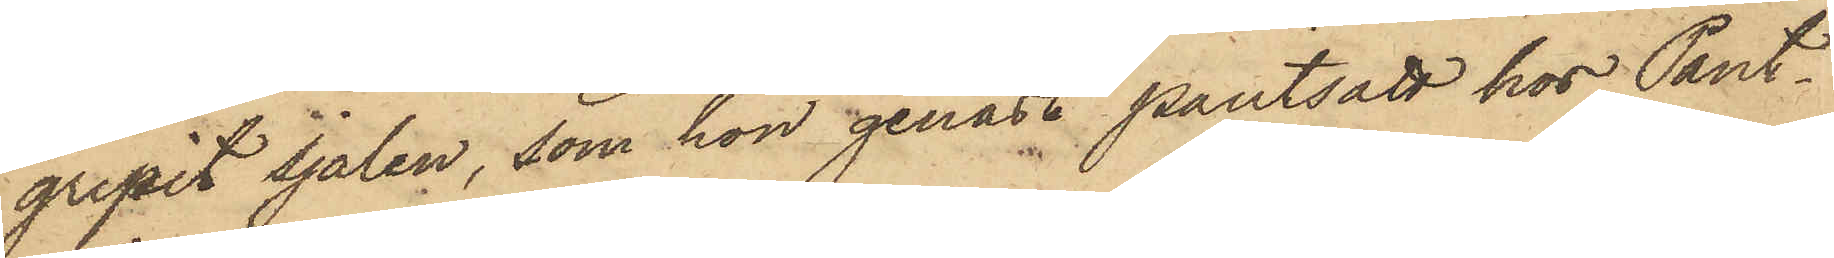gripit sjalen, som hon genast pantsatt hos Pant¬
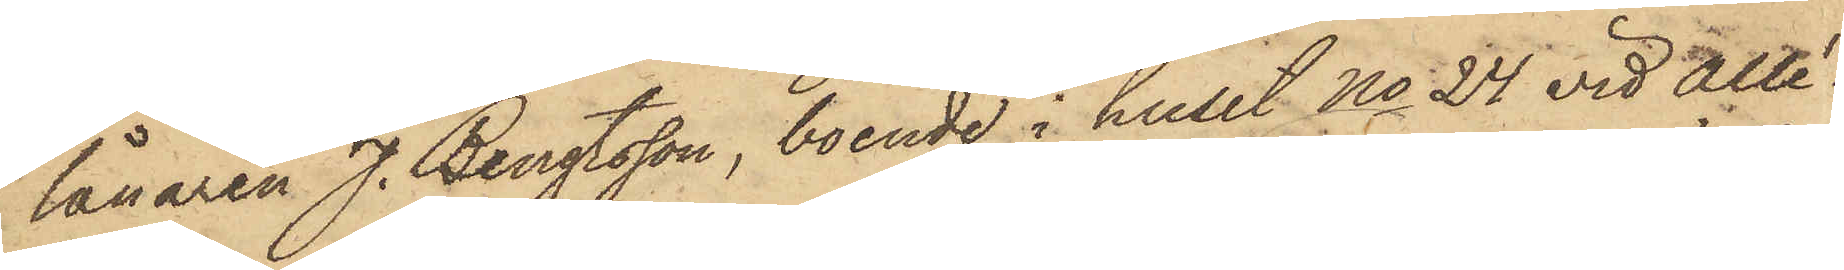lånaren J. Bengtsson, boende i huset No 24 vid Allé¬
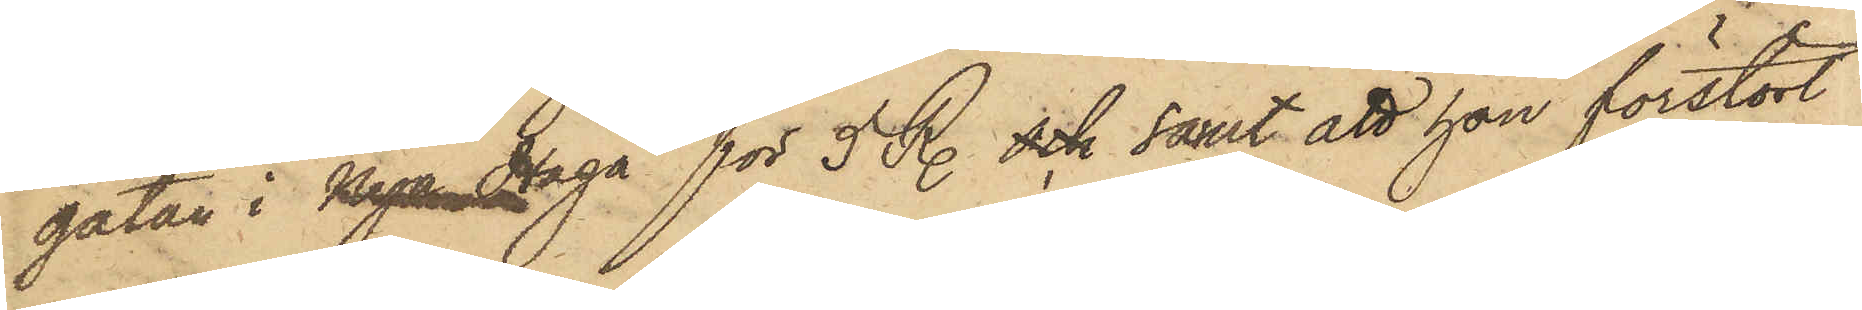gatan i Nya Haga för 5 R. och samt att hon förstört
